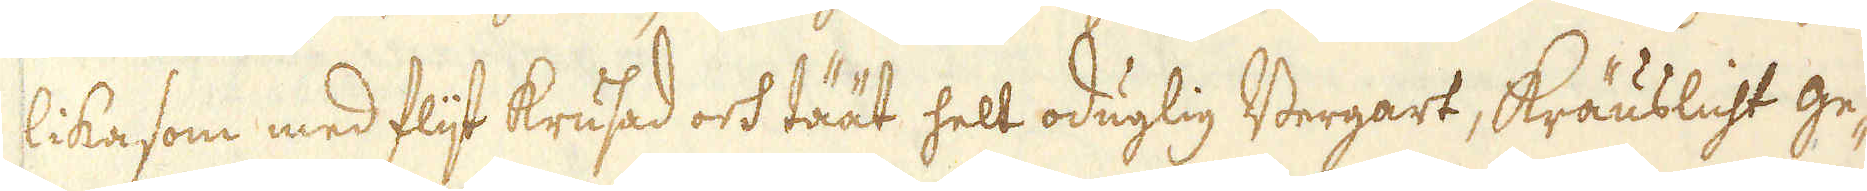lika som med flijt krusad och täät helt oduglig Bergart, Kräuslicht ge-
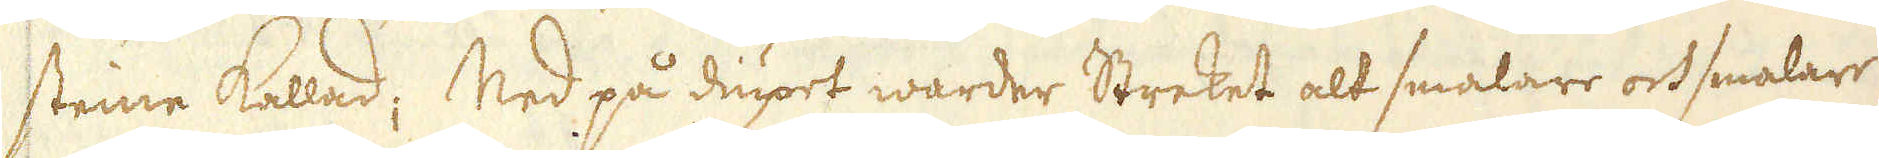steine kallad; Ned på diupet warder Streket alt smalare och smalare
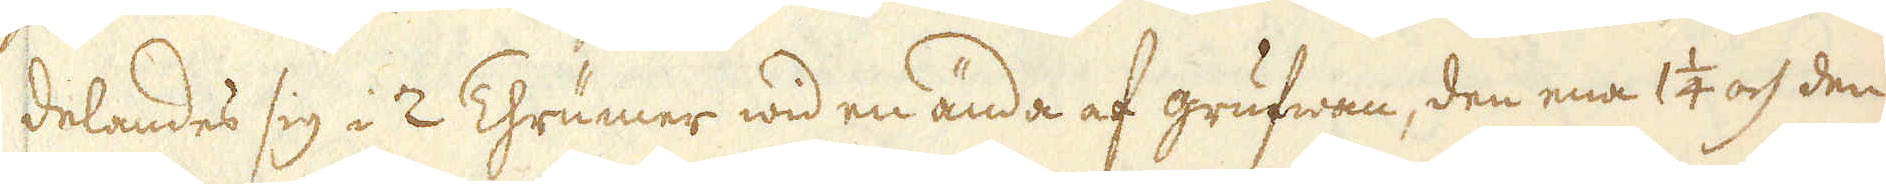delandes sig i 2 Thrumer wid en ända af grufwan, den ena 1 1/4 och den
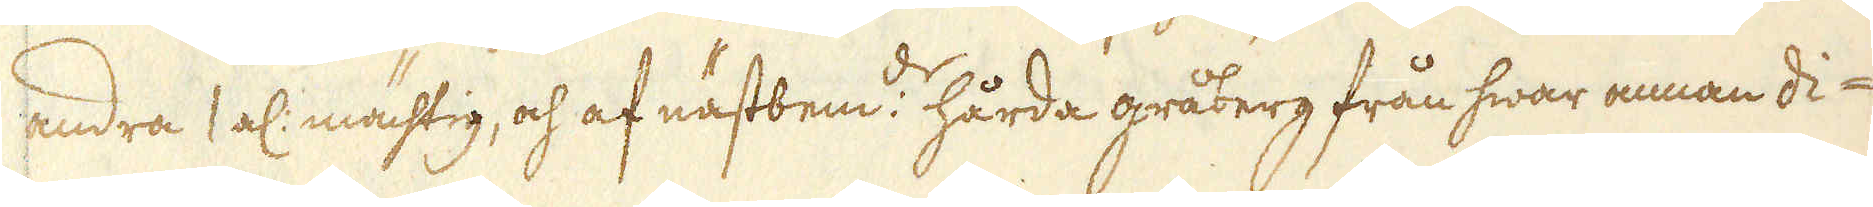andra 1 al: mächtig, och af nästbem:de hårda gråberg från hwar annan di-
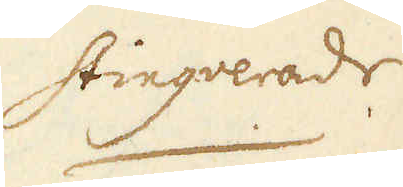stingverade
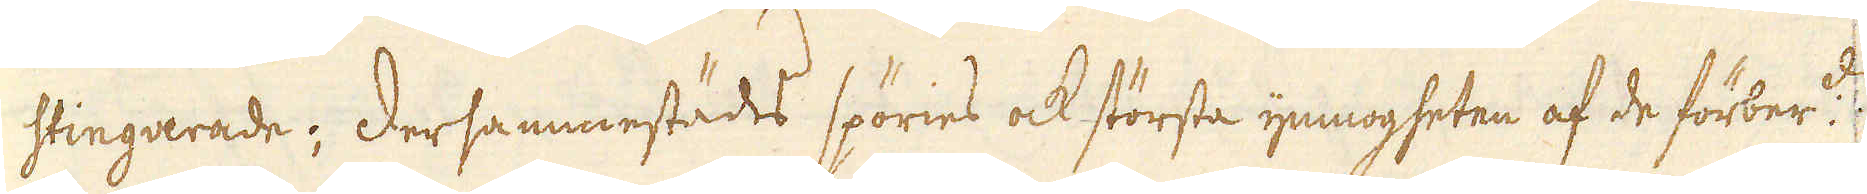stingverade; Dersammestädes spöries ock största ymnogheten af de förber:de
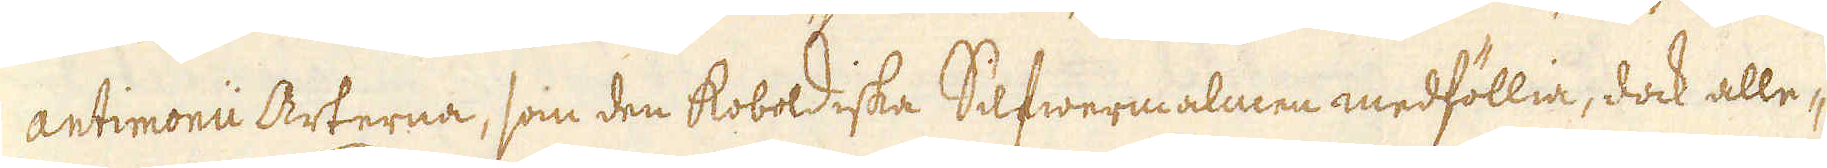antimonii Arterna, som den koboldiska Silfwermalmen medföllia, dock alle-
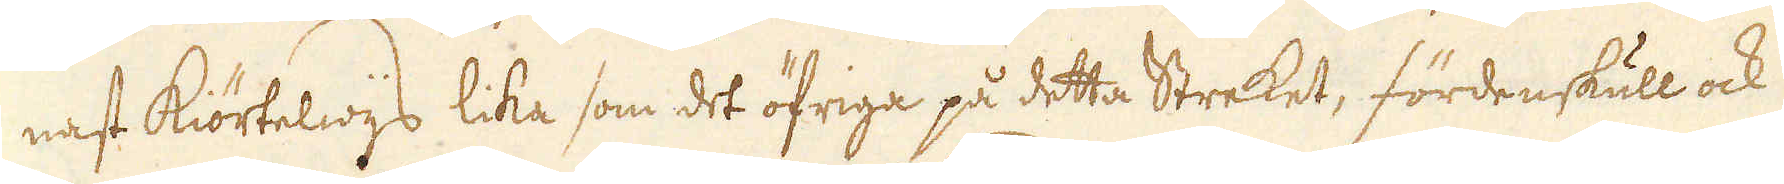nast kiörtelwijs lika som det öfriga på detta Streket, fördenskull ock
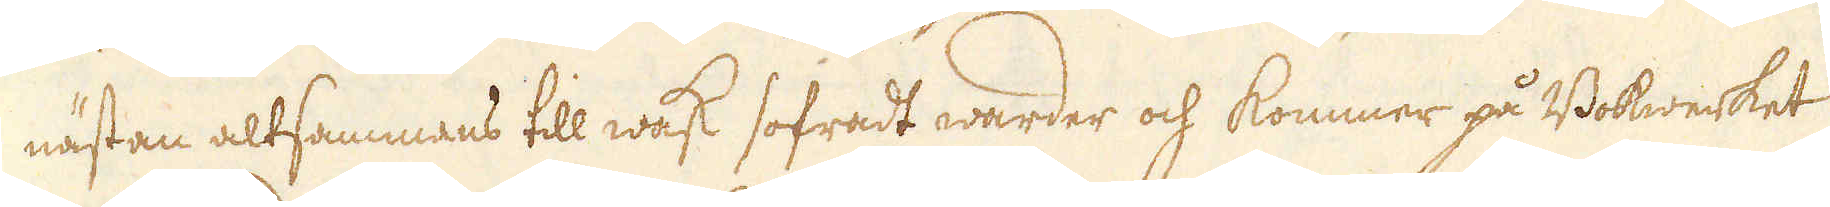nästan altsammans till wask sofradt warder och kommer på Bokwerket
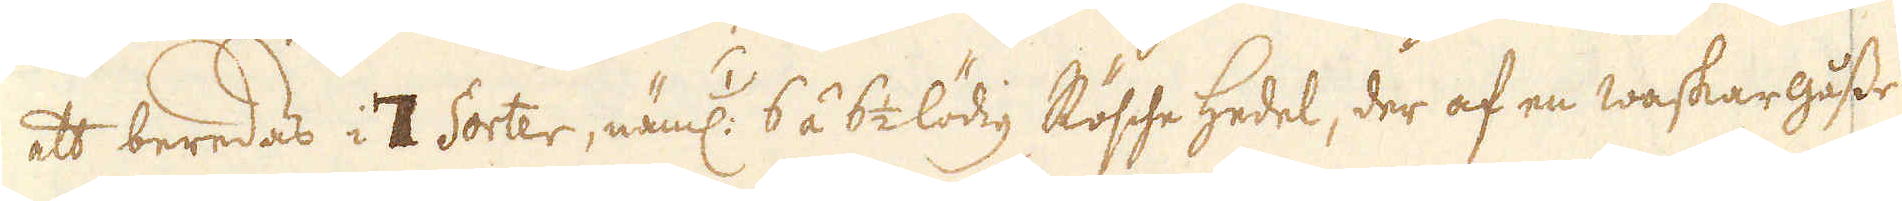att beredas i 7 Sorter, näml: /1/ 6 á 6 1/2 lödig Rösche Hedel, der af en waskar gåsse
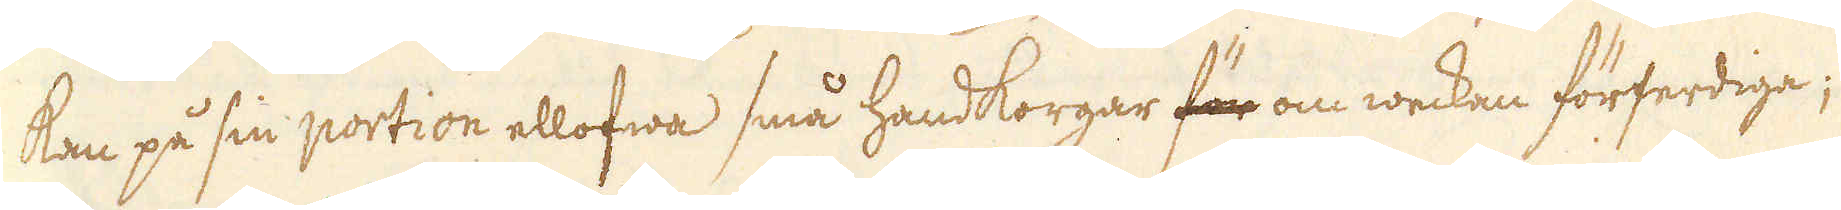kan på sin portion ellofwa små handkorgar för om weckan förferdiga;
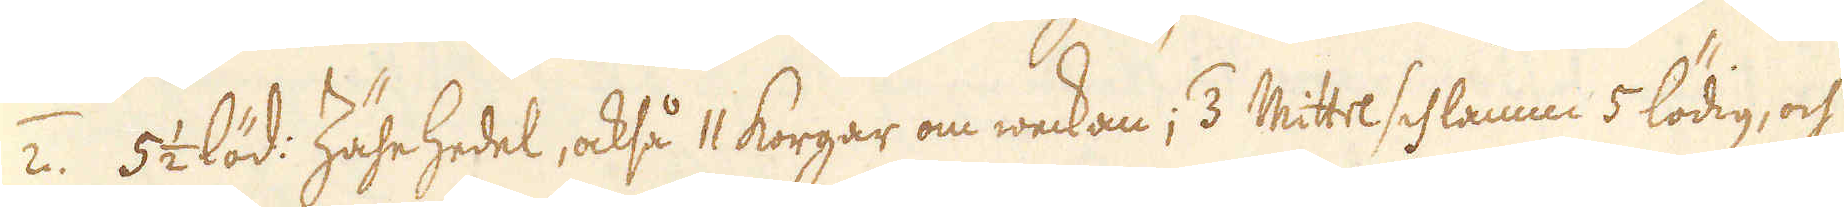/2. 5 1/2 löd: Zähe Hedel, också 11 korgar om weckan; /3. Mittel schlamm 5 lödig, och
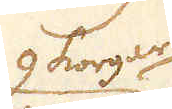9 korgar
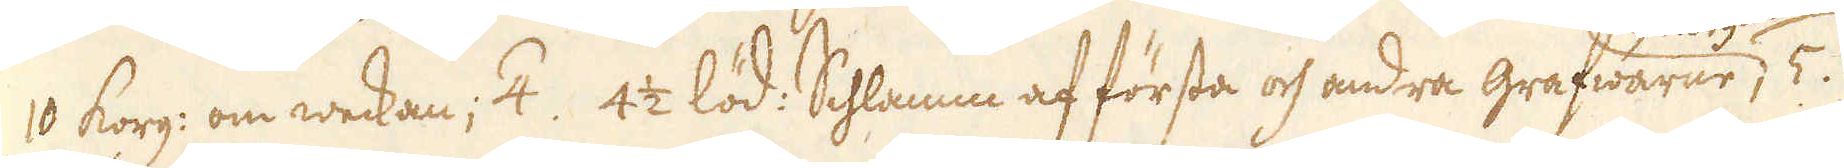10 korg: om weckan; /4. 4 1/2 löd: Schlamm af första och andra grafwarne, /5.
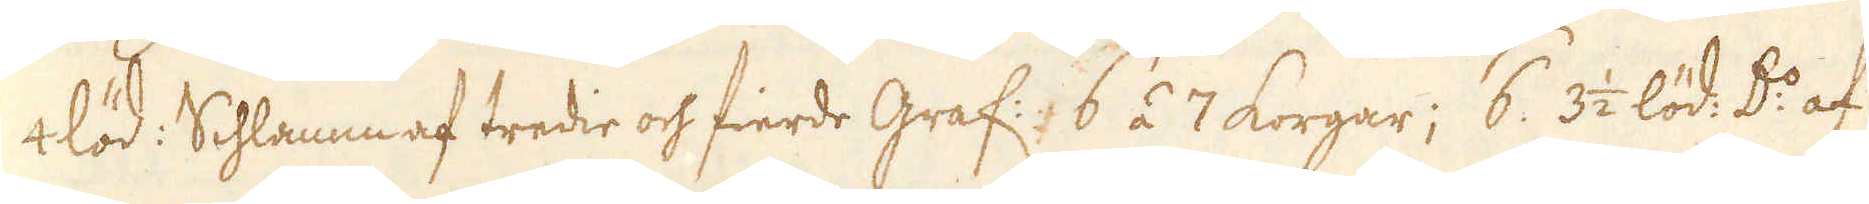4 löd: Schlamm af tredie och fierde graf: 6 á 7 korgar; /6. 3 1/2 löd. D:o af
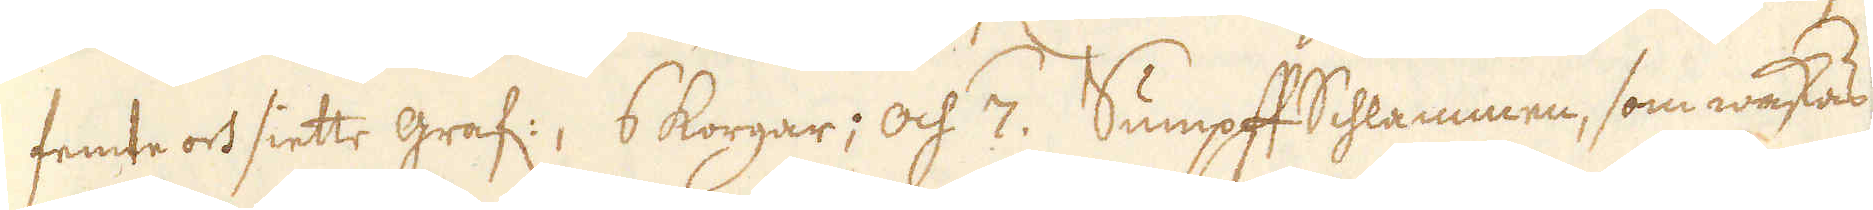femte och siette graf:, 6 korgar; och /7. Sumpff Schlammen, som waskas
